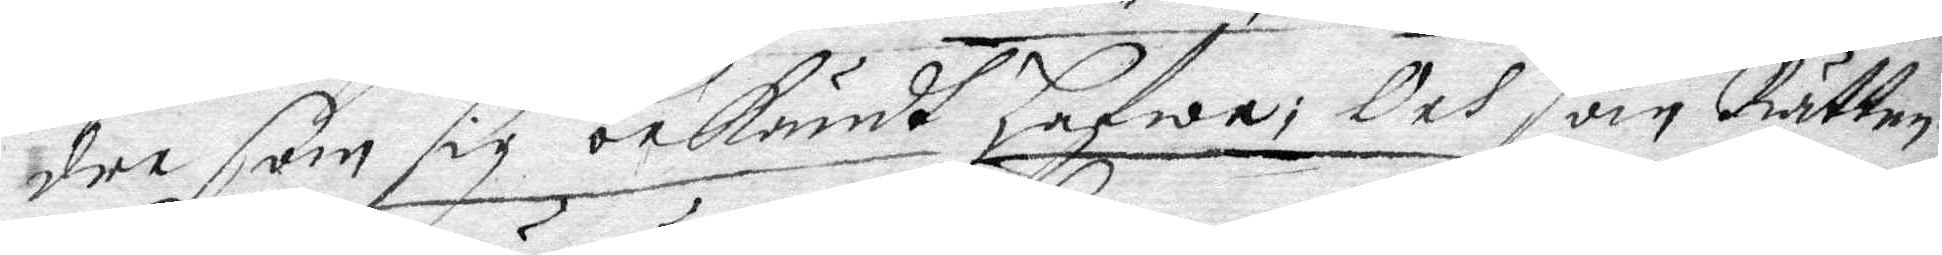dre som sig bekändt hafwer; Och som Rätten
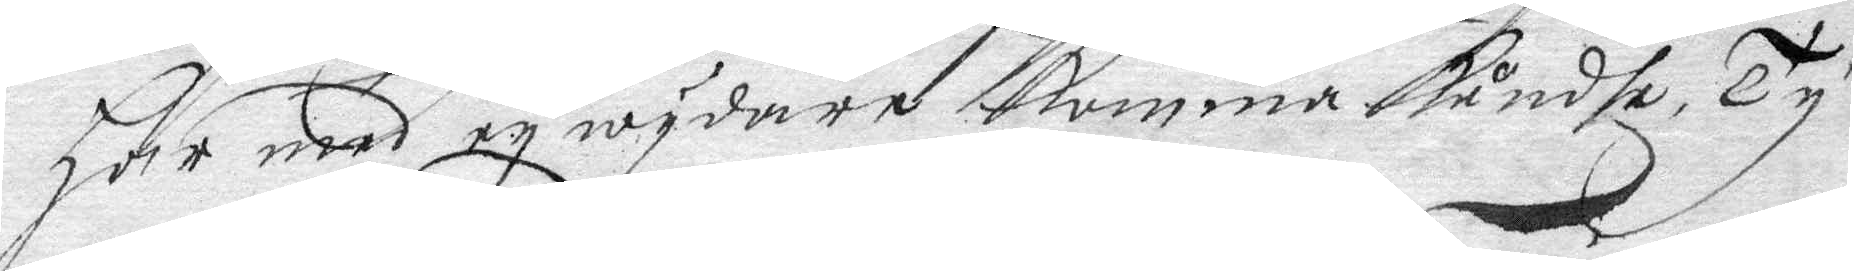här med ey wydare komma kundhe, Ty
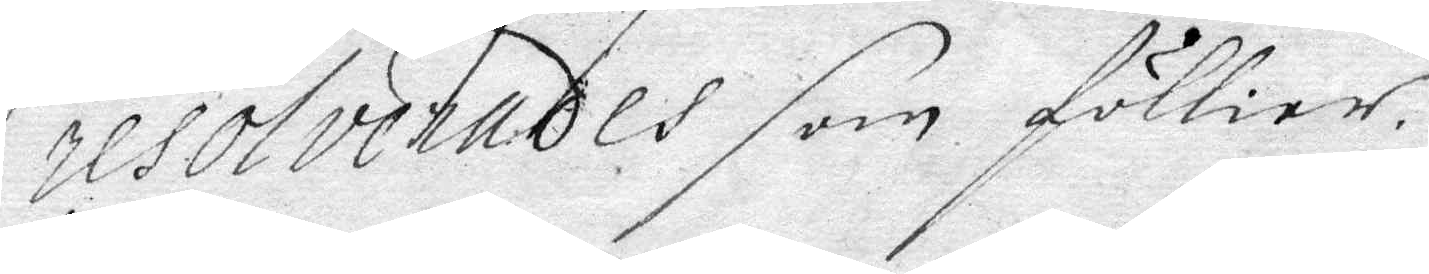resolverades som föllier.
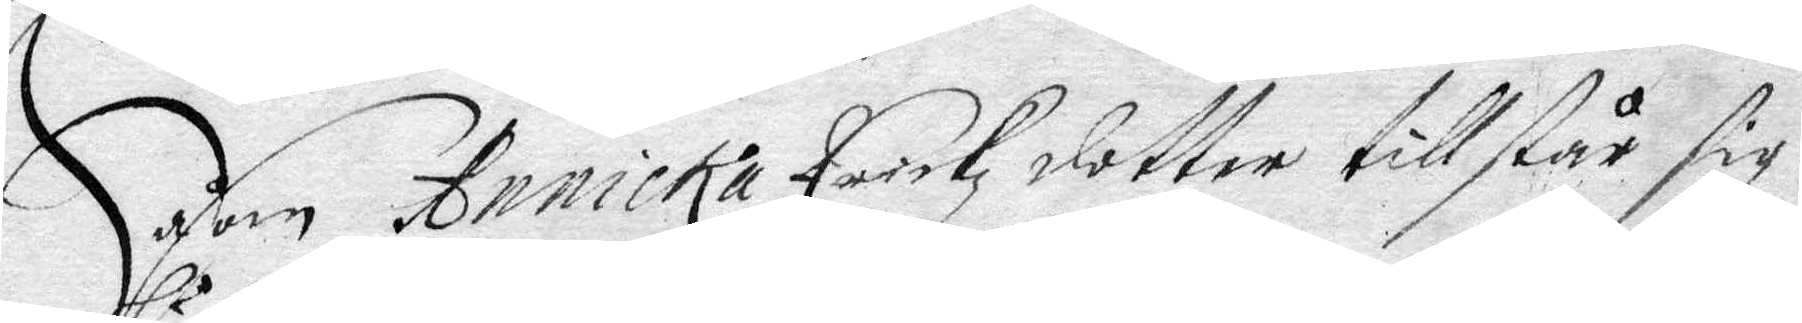Såsom Annicka Erickzdotter tillstår sig
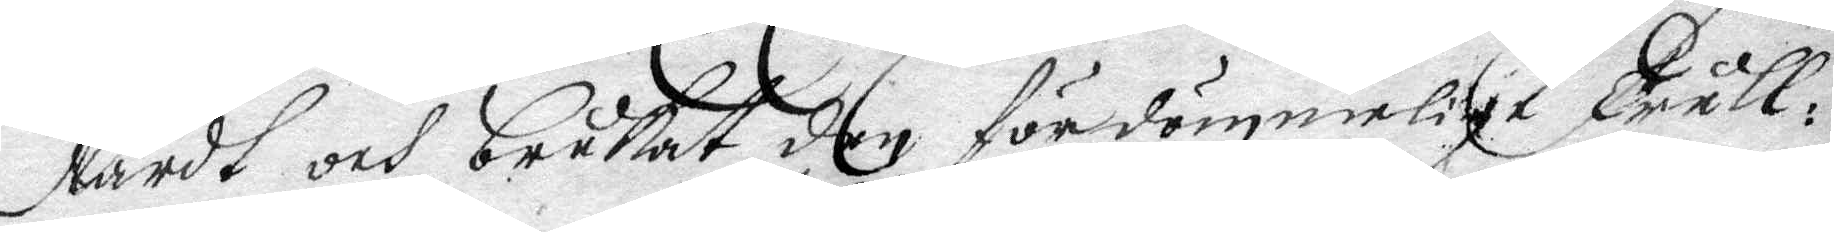lärdt och brukat den fördömmelige Tråll¬
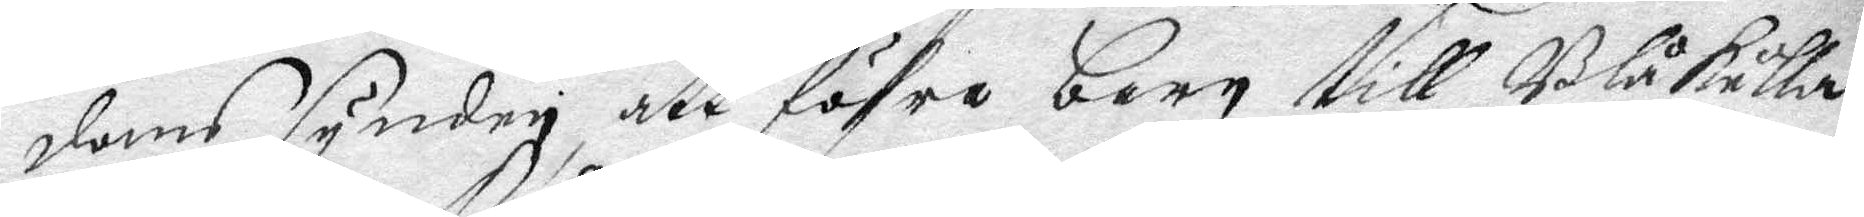doms synden, att föhra barn till Blåkulla;
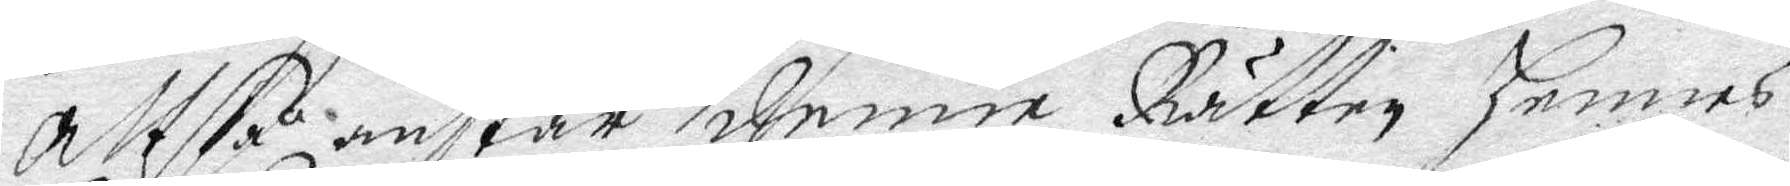altså anstår denne Rätten hennes
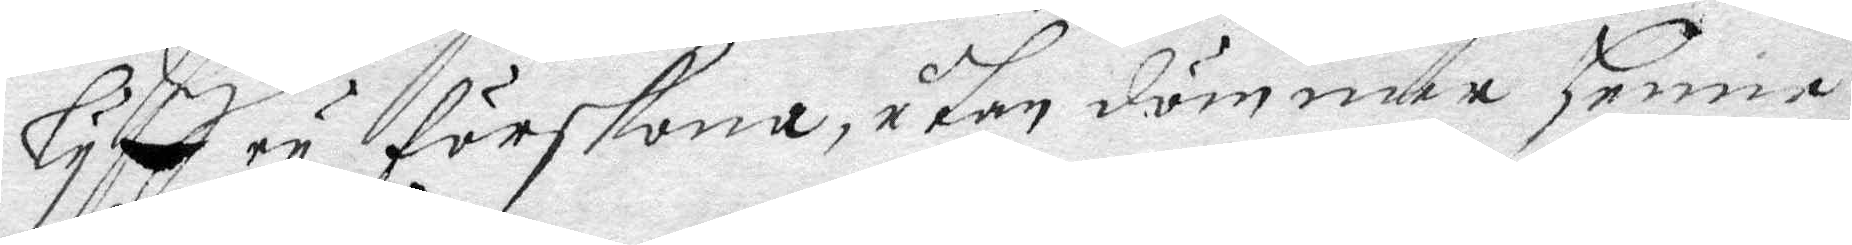lyff ey förskona, utan dömmer henne
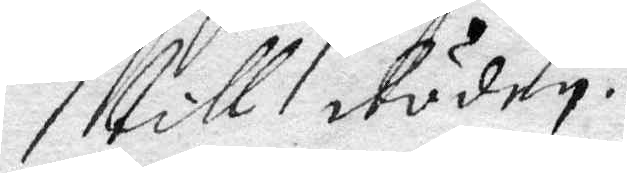till döden.
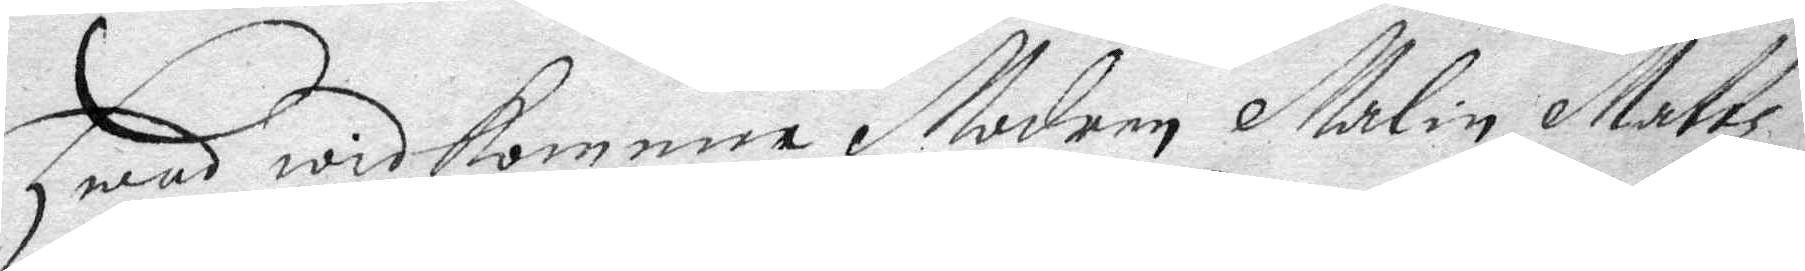Hwad widkomma Modren Malin Mattz¬
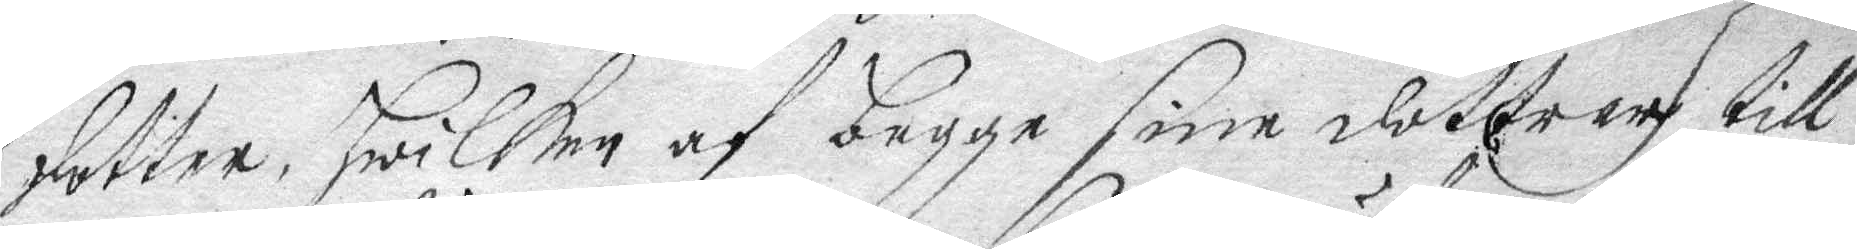dotter, hwilken af begge sine dottren till
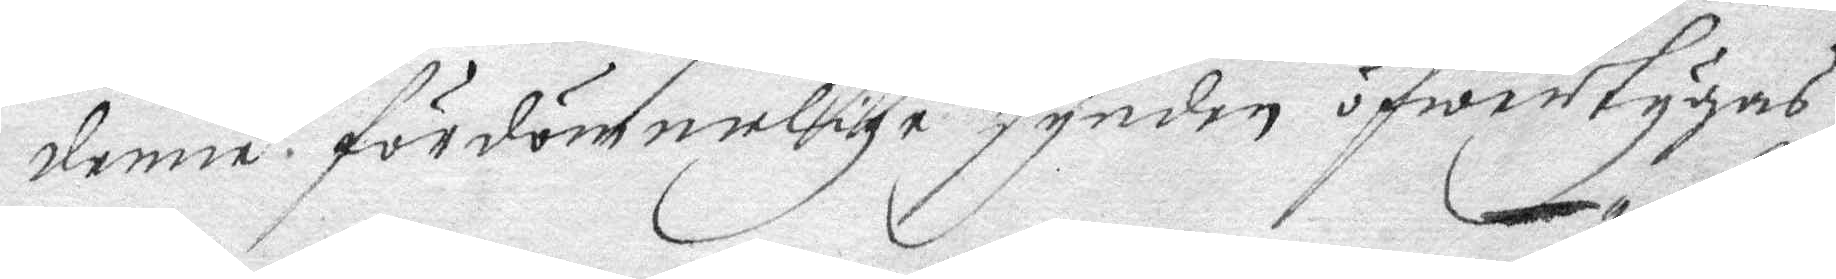denne fördömmelige synden öfwertygas
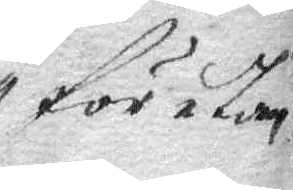första
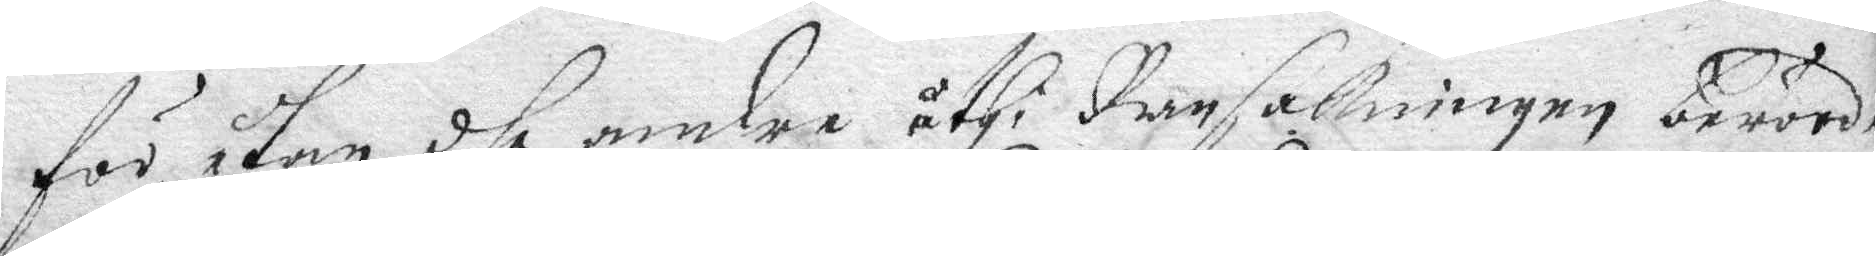för utan dhe andre uthi Ransakningen berörde
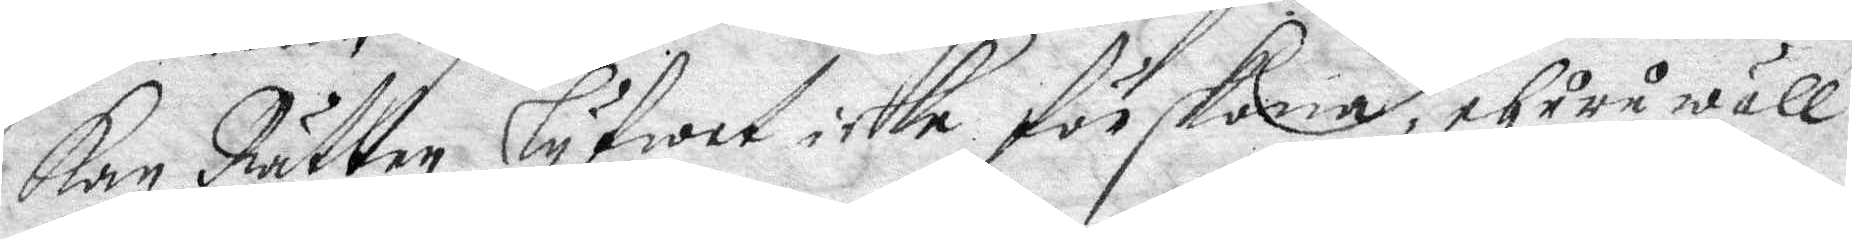kan Rätten lyfwet icke förskona, ehuru wäll
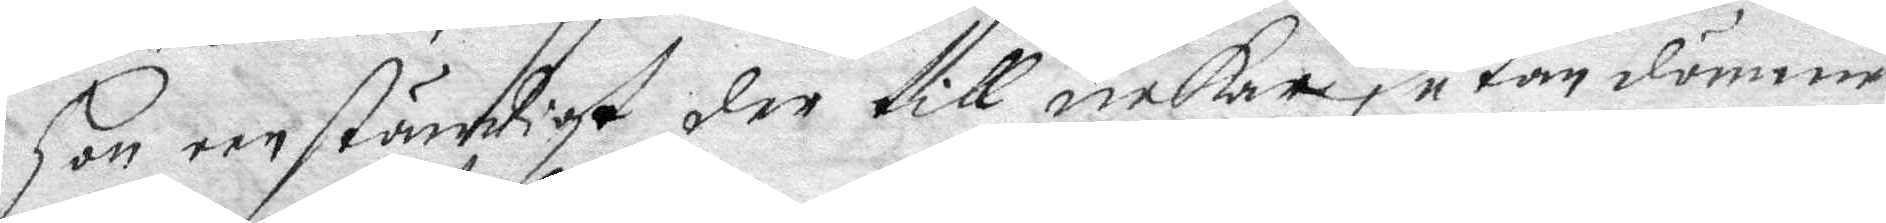hon een ständigt der till nekar, utan dömmer
